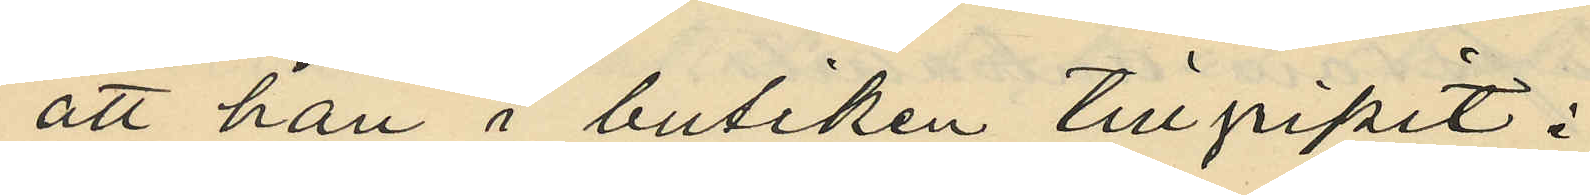att han i butiken tillgripit i
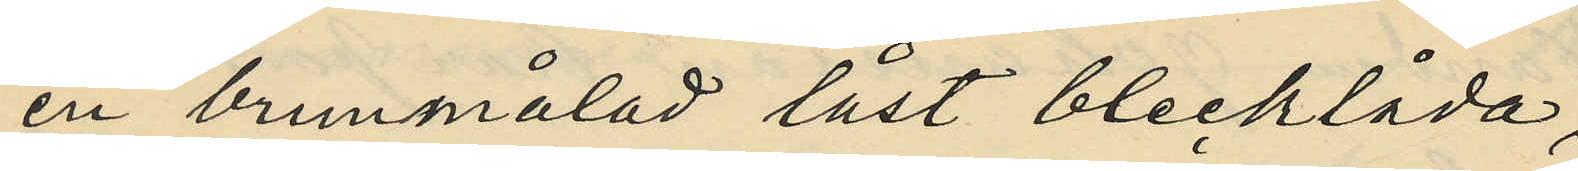en brunmålad låst blecklåda,
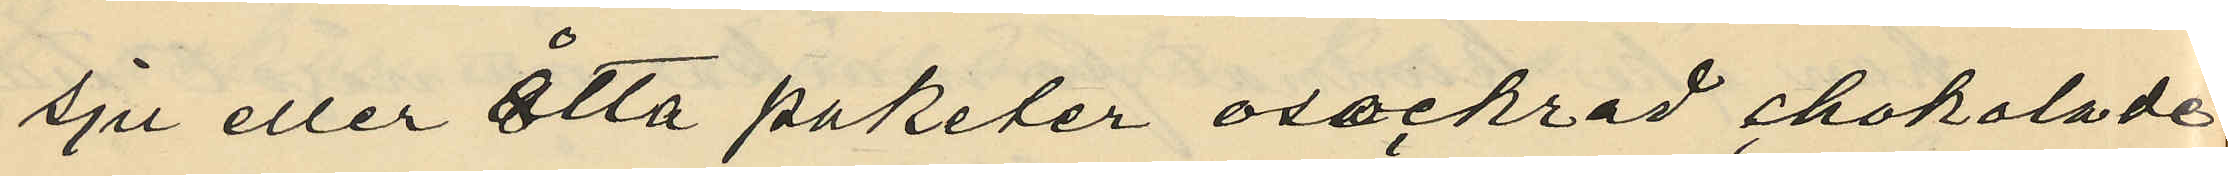sju eller åtta paketer osockrad chokolade
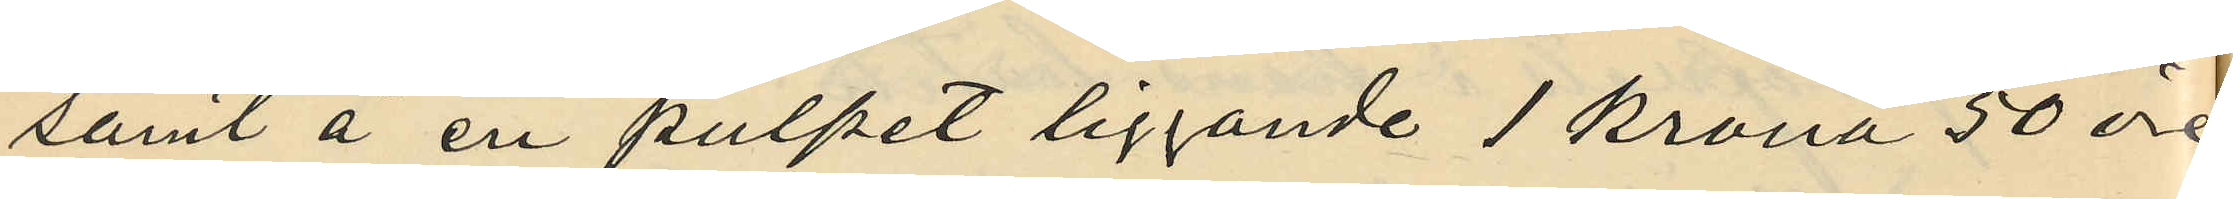samt å en pulpet liggande 1 krona 50 öre
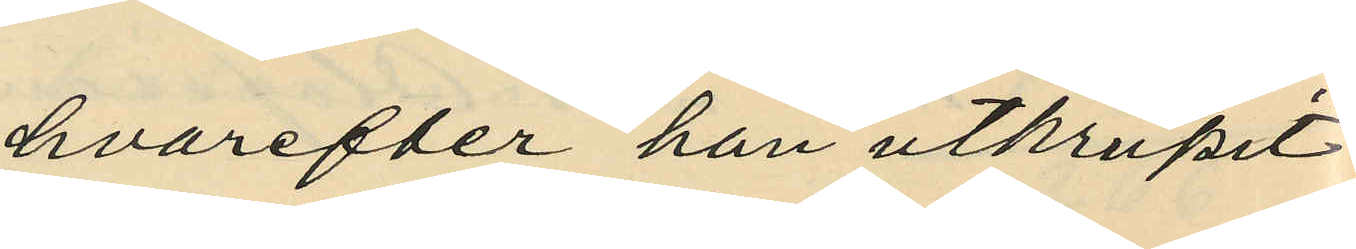hvarefter han utkrupit
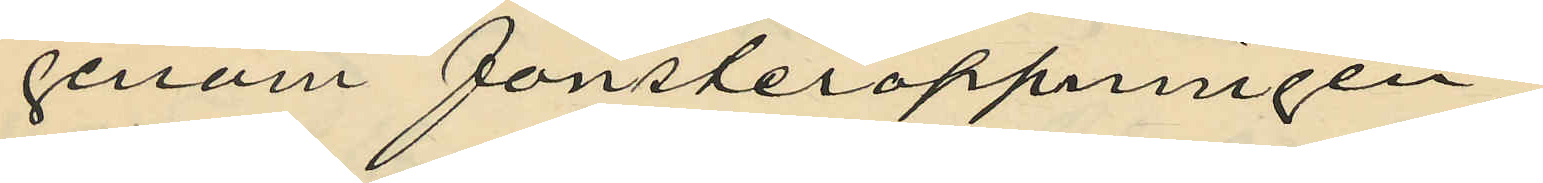genom fönsteröppningen;
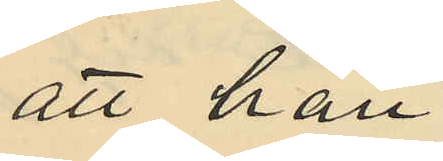att han
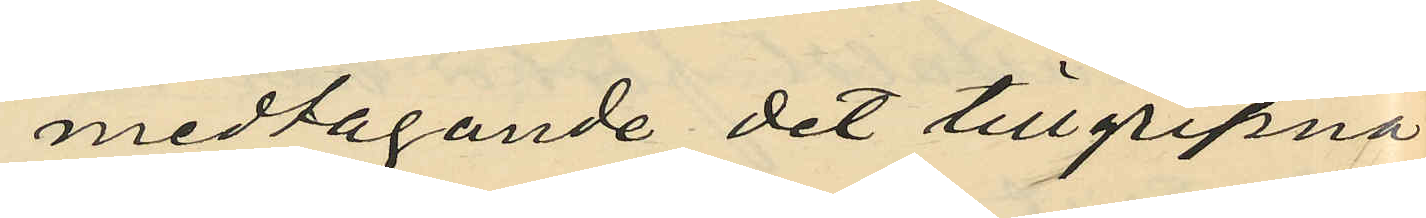medtagande det tillgripna
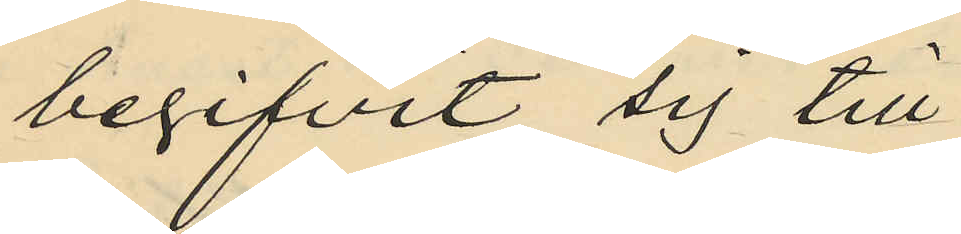begifvit sig till
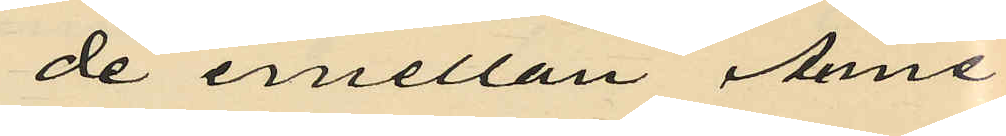de emellan Anne¬
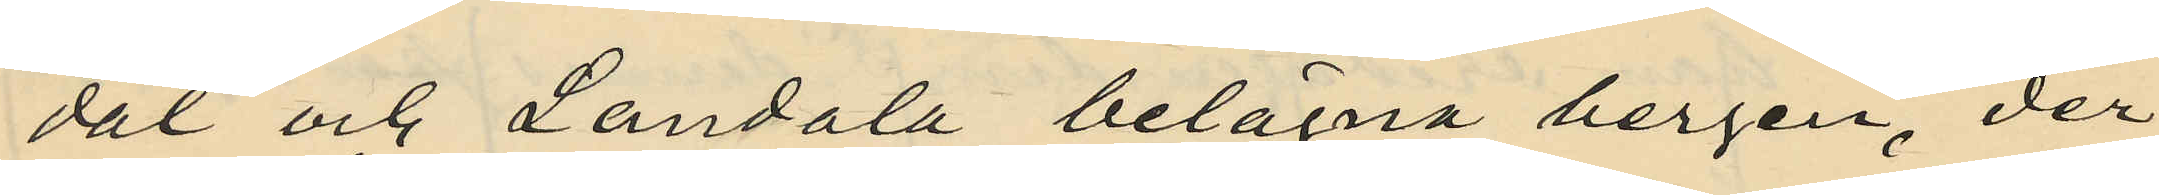dal och Landala belägna bergen, der
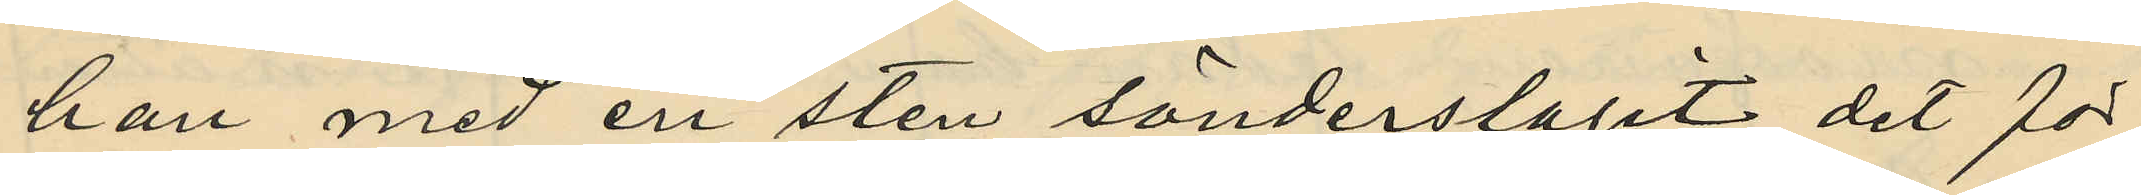han med en sten sönderslagit det för
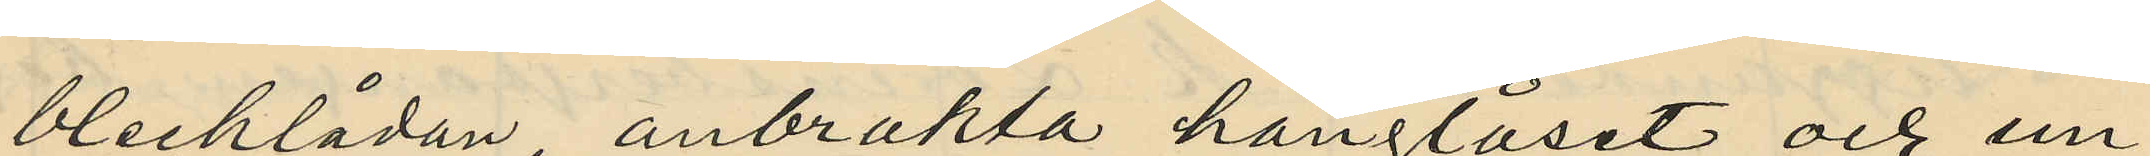blecklådan anbrakta hänglåset och un¬
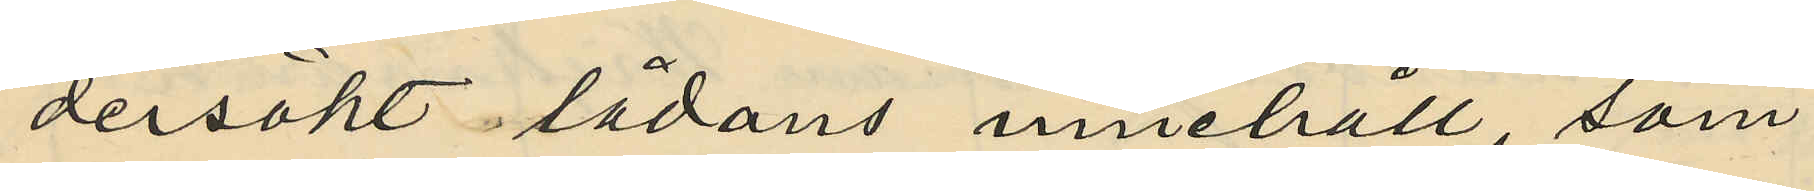dersökt lådans innehåll, som
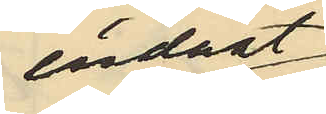endast
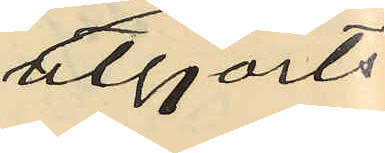utgjorts
